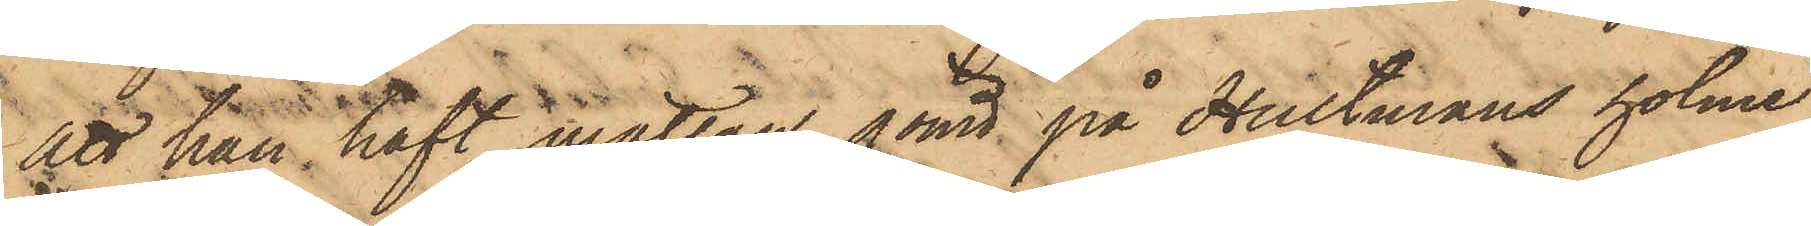att han haft mattan gömd på Hultmans holme,
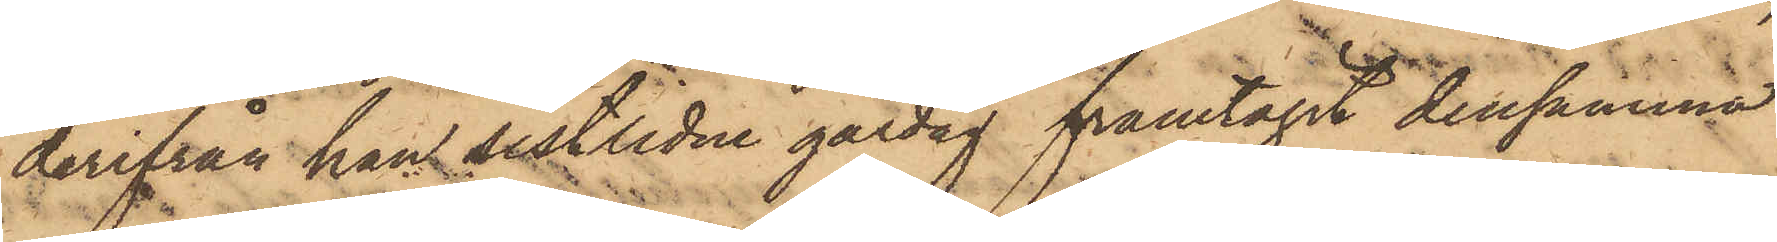derifrån han sistlidne gårdag framtagit densamma
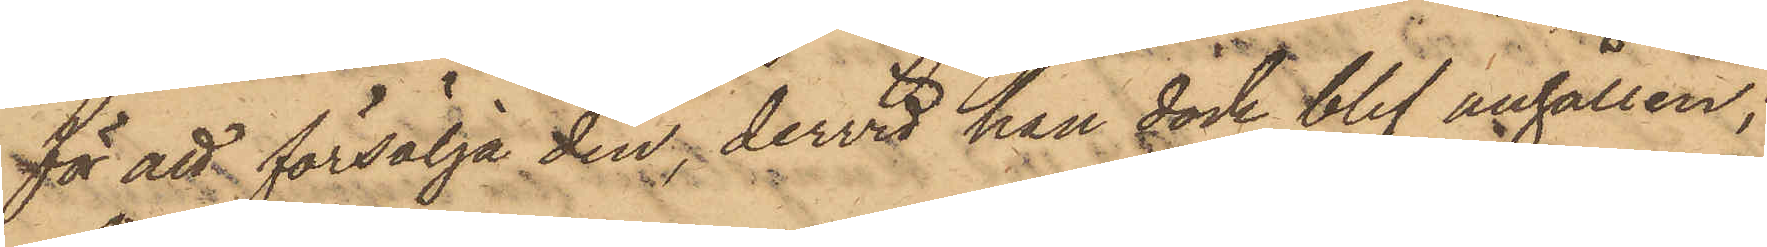för att försälja den, dervid han dock blef anhållen;
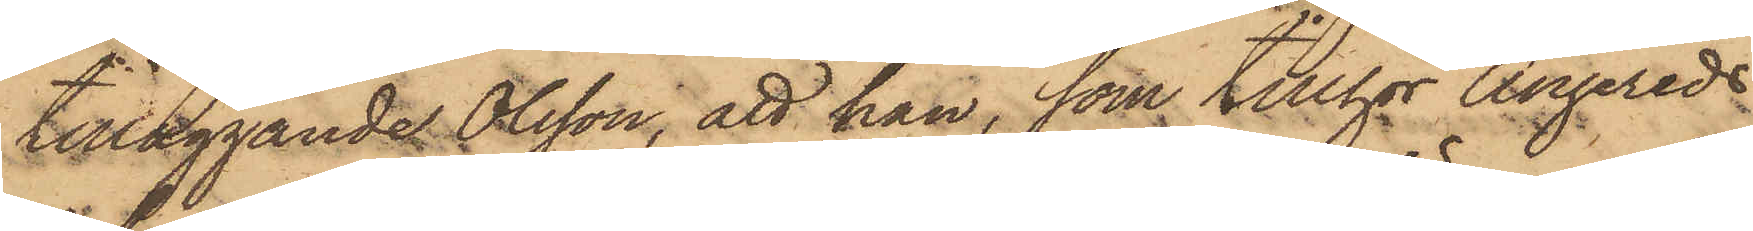tilläggande Olsson, att han, som tillhör Angereds
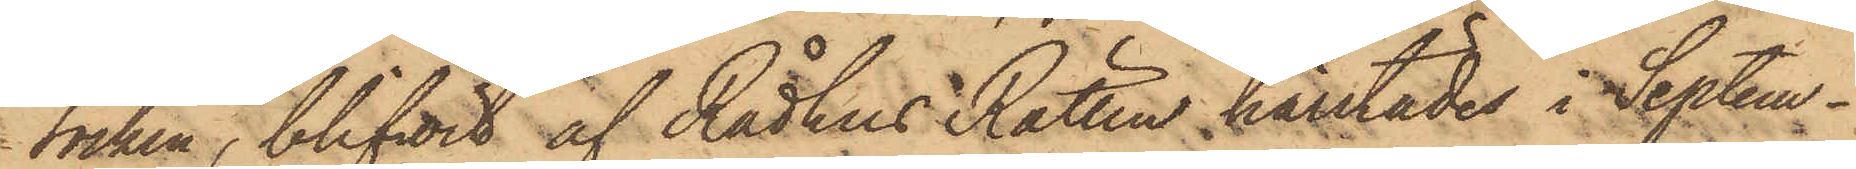Socken, blifvit af Rådhus Rätten härstädes i Septem¬
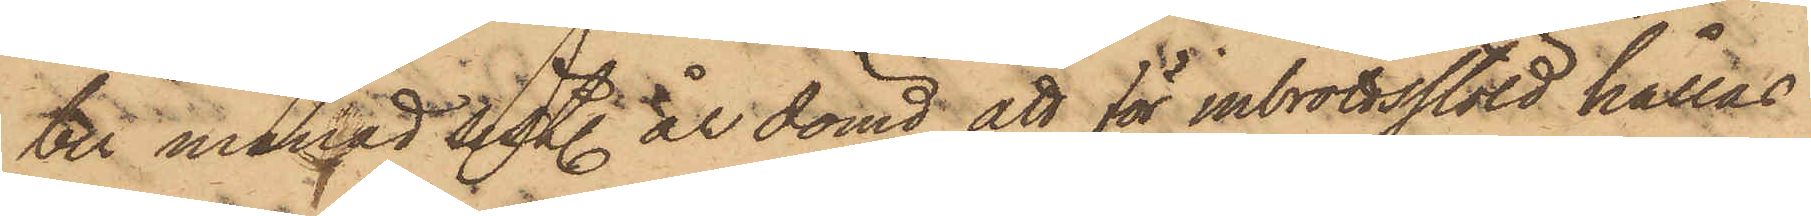ter månad sistl. år dömd att för inbrottsstöld hållas
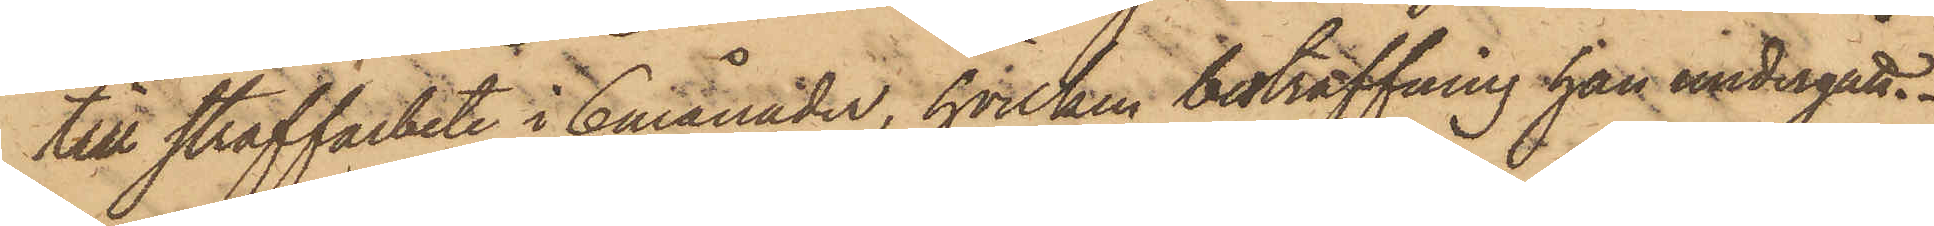till straffarbete i 6 månader, hvilken bestraffning han undergått.
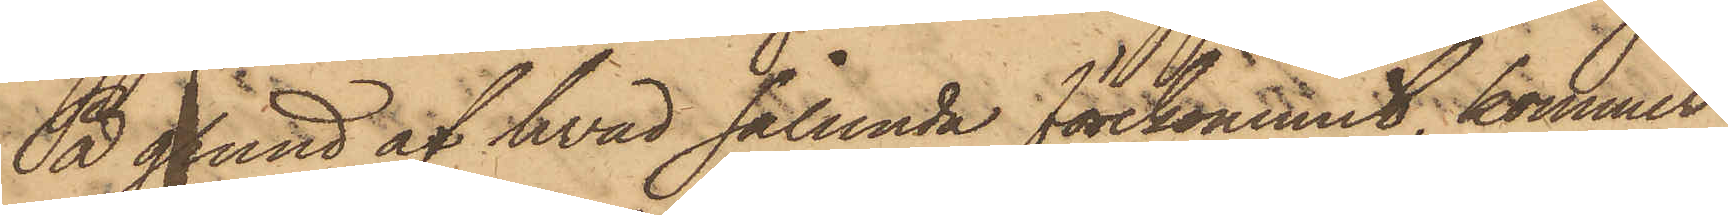På grund af hvad sålunda förekommit, kommer
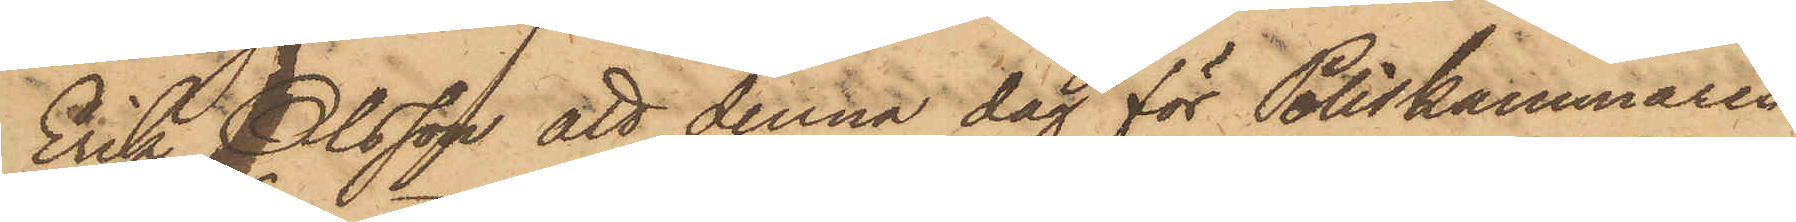Erik Olsson att denna dag för Poliskammaren
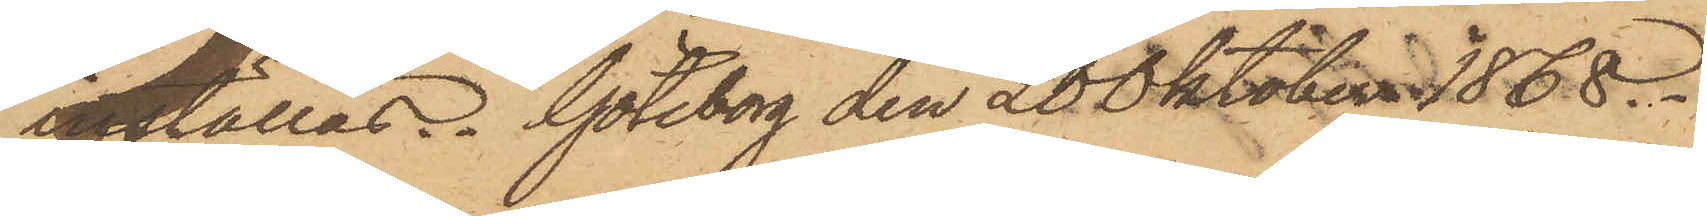inställas. Göteborg den 20 Oktober 1868.
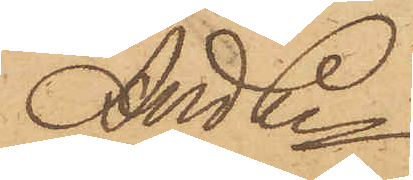And Ln
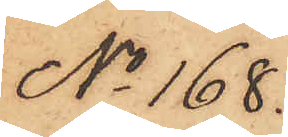No 168.
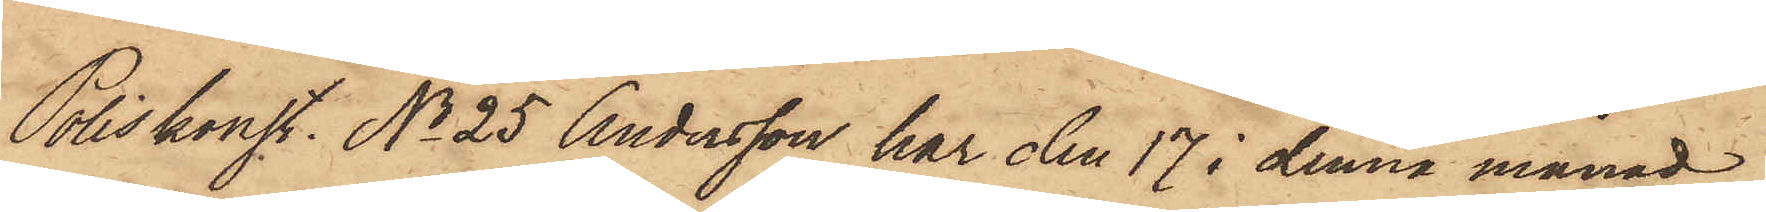Poliskonst. No 25 Andersson har den 17 i denna månad
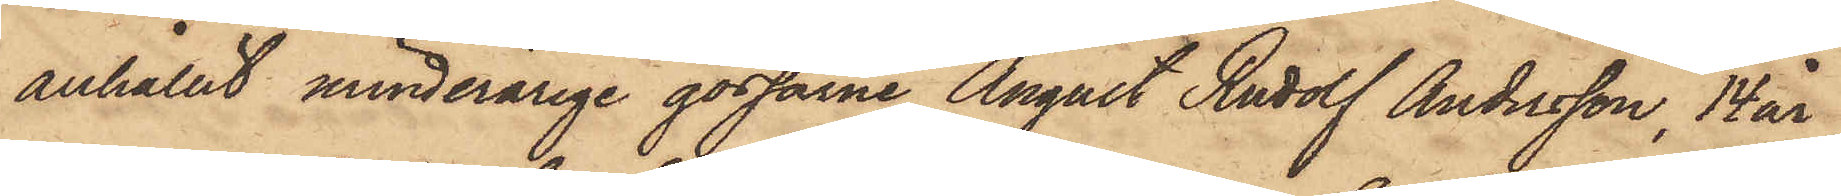anhållit minderårige gossarne August Rudolf Andersson, 14 år
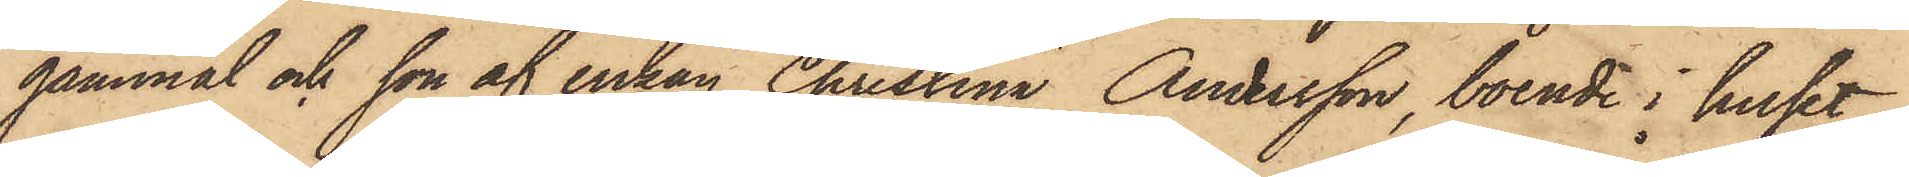gammal och son af enkan Christina Andersson, boende i huset
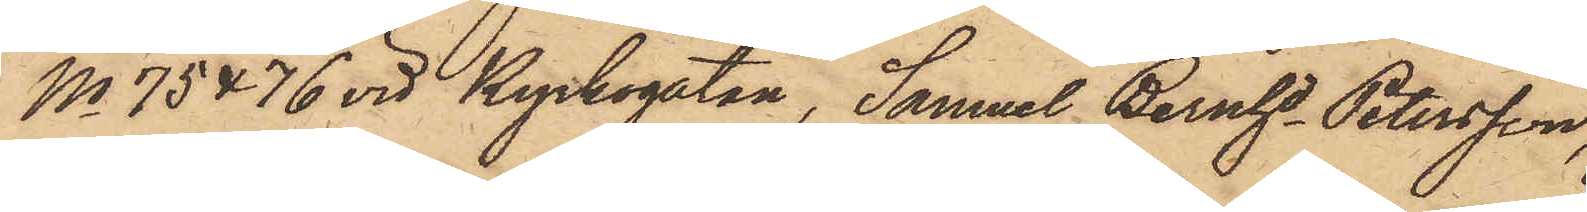No 75 & 76 vid Kyrkogatan, Samuel Bernhd Petersson,
